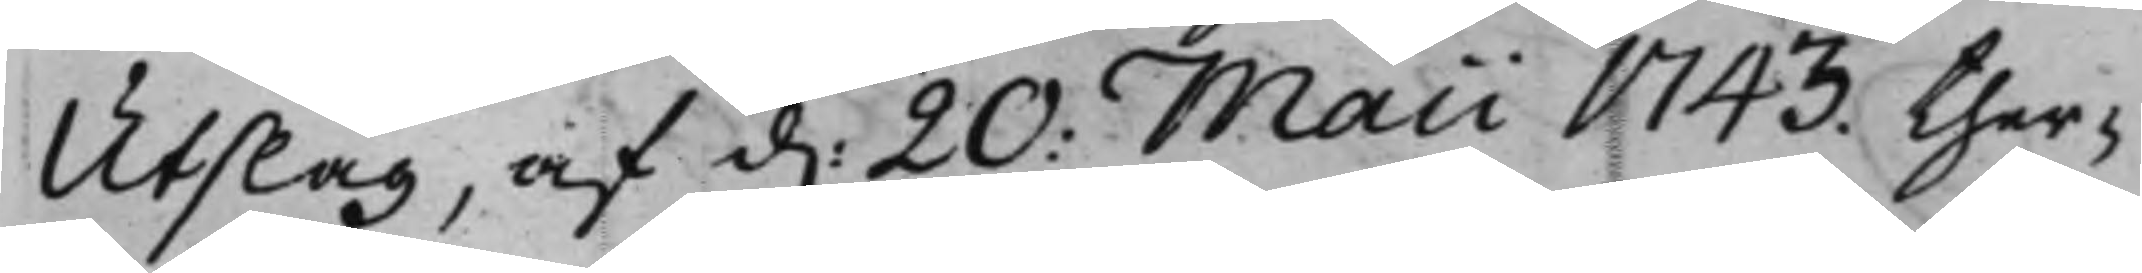Utslag af d. 20 Maii 1743. ther¬
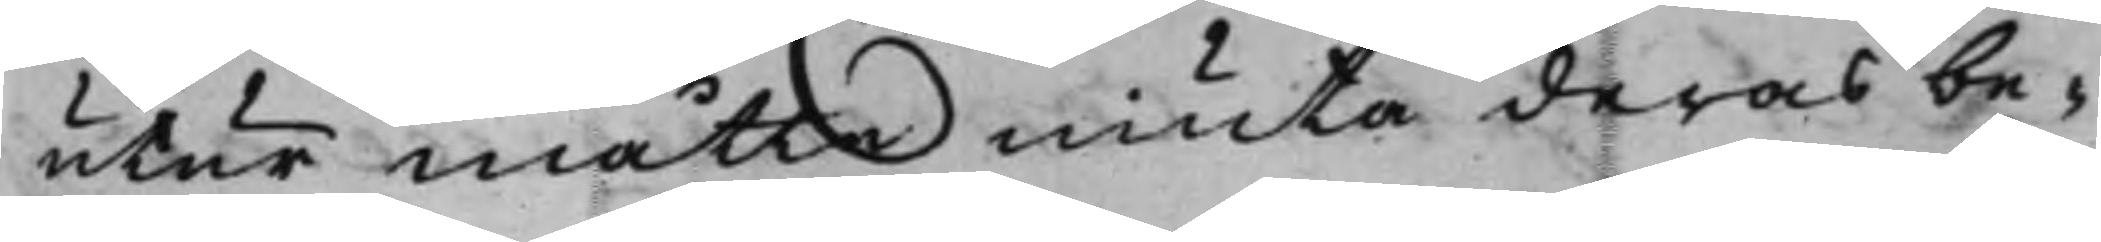utur måtte niuta deras be¬
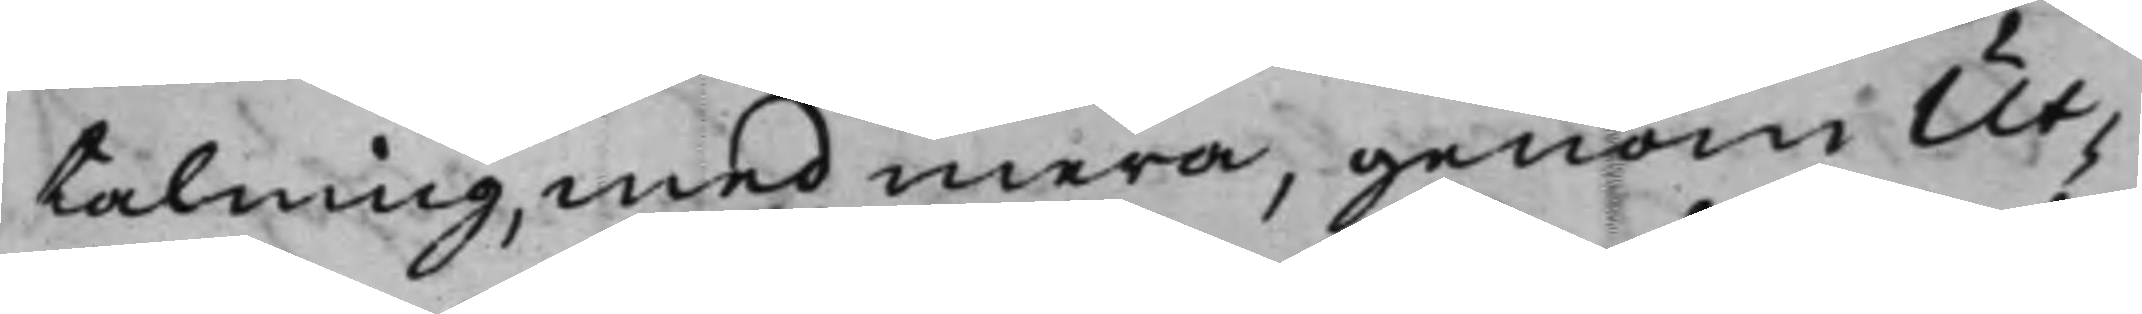talning, med mera, genom Ut¬
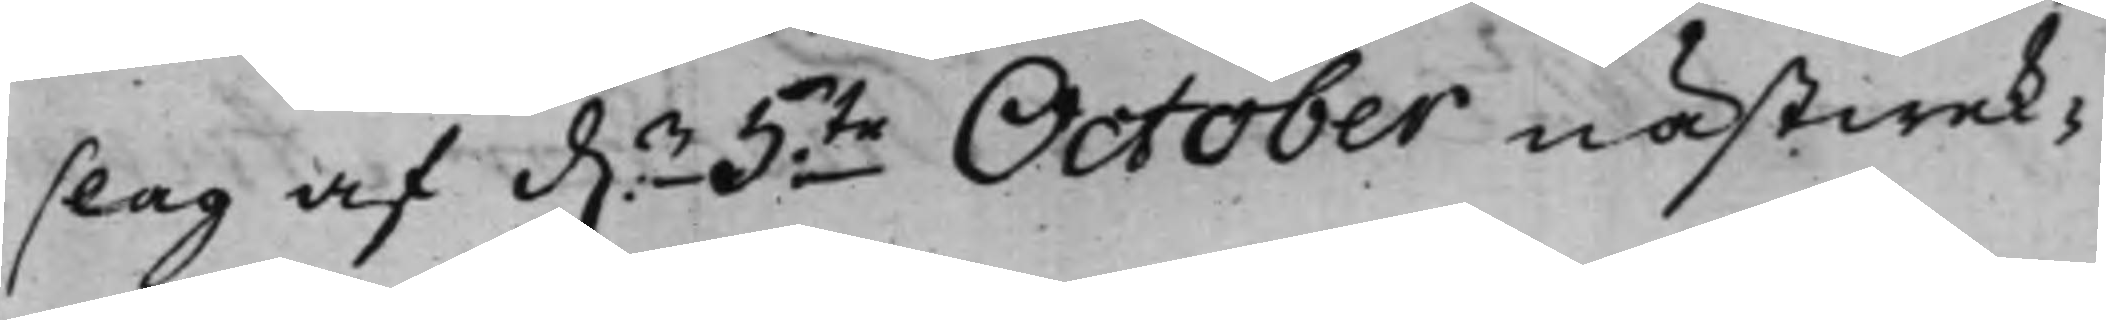slag af d.n 5te October nästwek¬
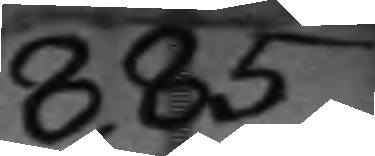885
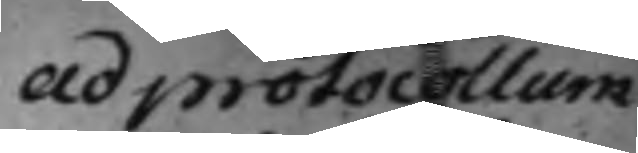ad protocollum
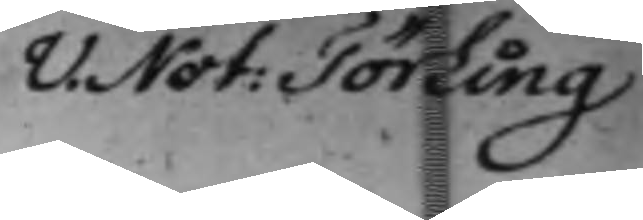V. Not: Törling
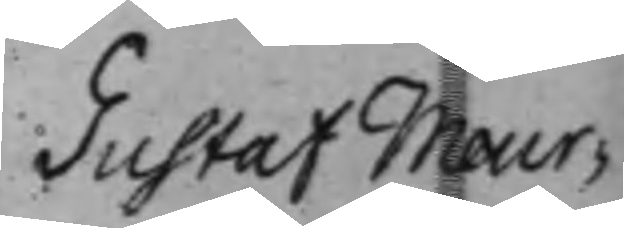Gustaf Meur¬
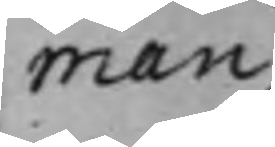man
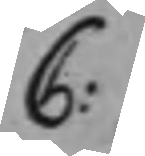C:
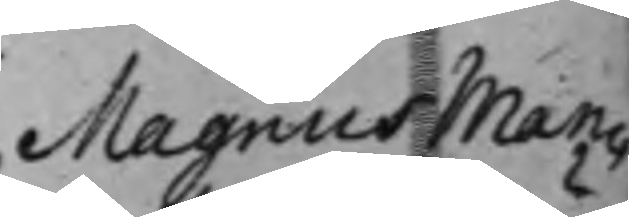Magnus Man¬
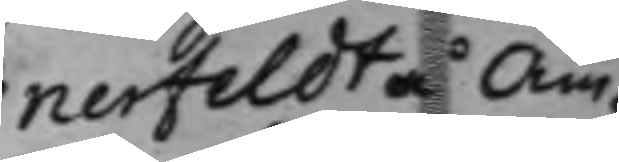nerfeldt å Äm¬
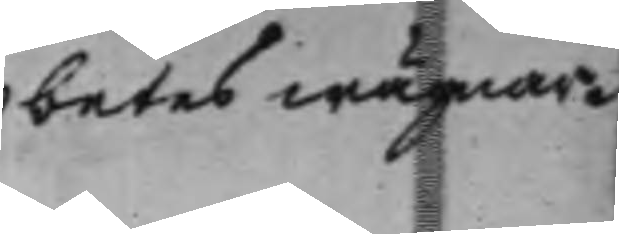betes wägnar.
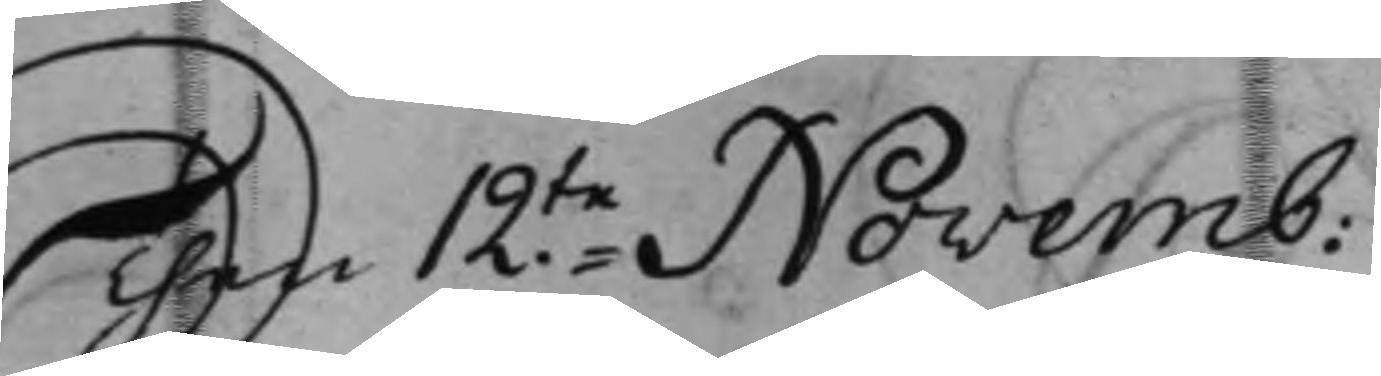Then 12.te Novemb:
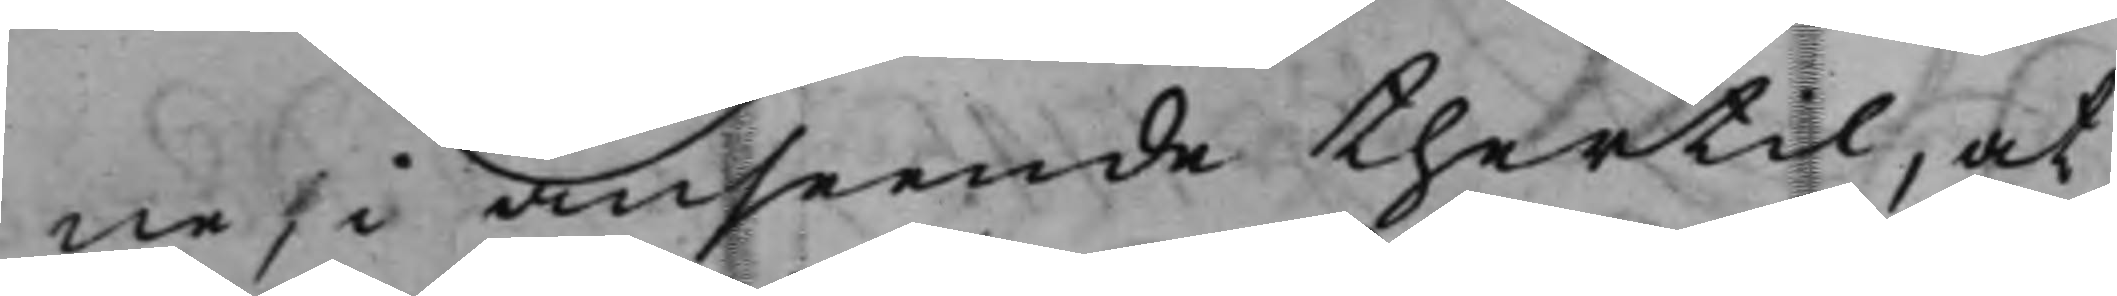ne, i anseende thertil, at
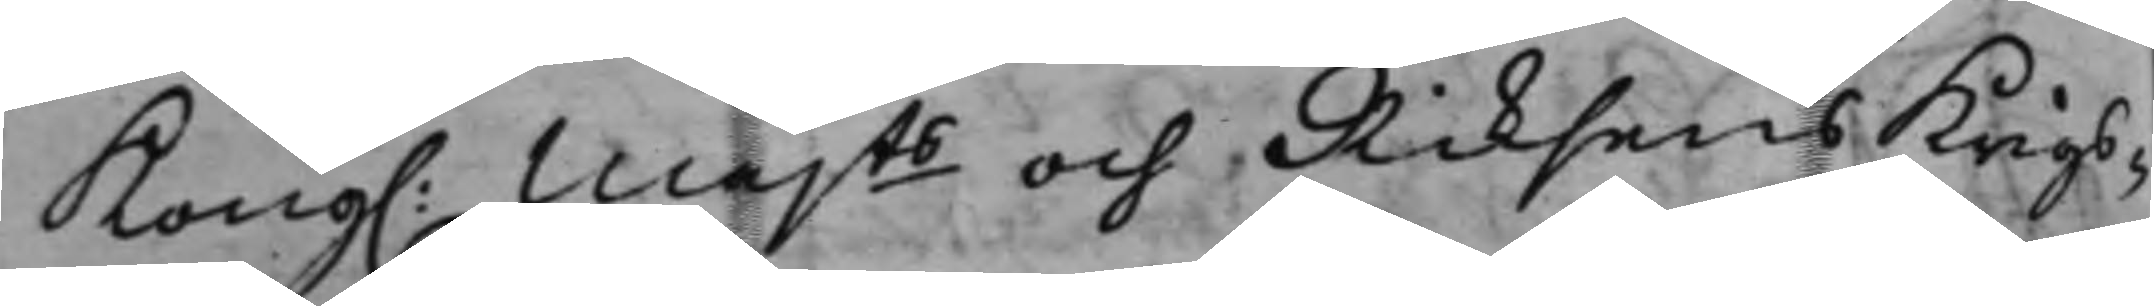Kong. Majts och Riksens Krigs¬
